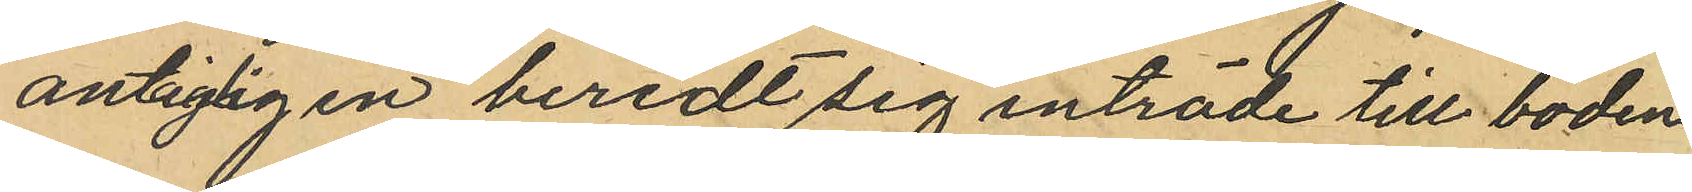antagligen beredt sig inträde till boden
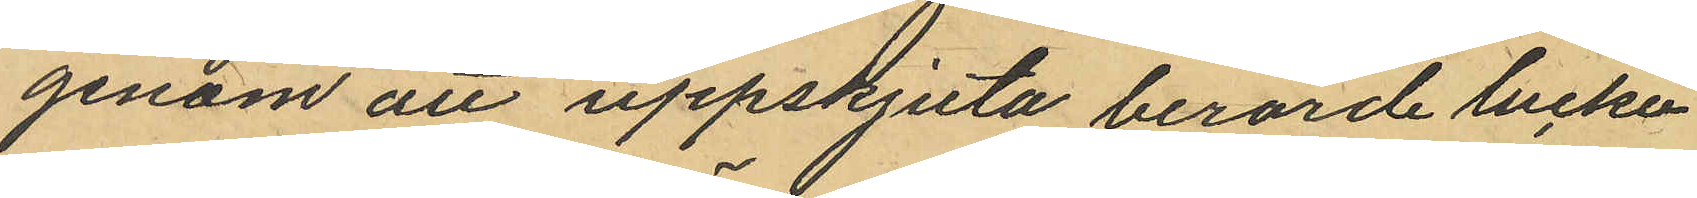genom att uppskjuta berörde lucka
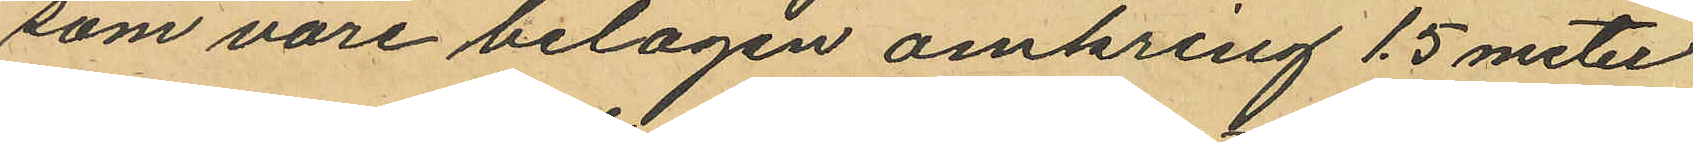som vore belägen omkring 1.5 meter
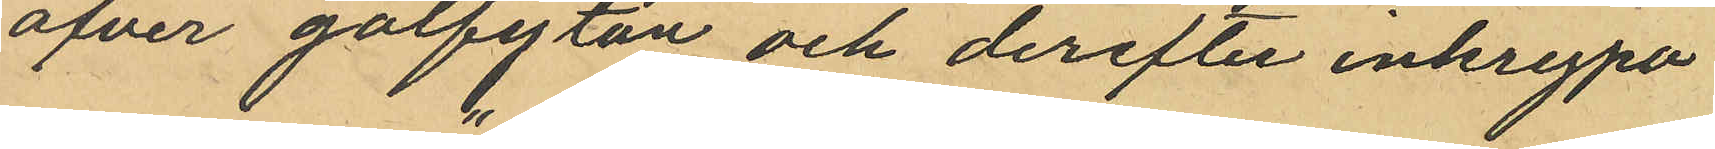öfver golfytan och derefter inkrypa
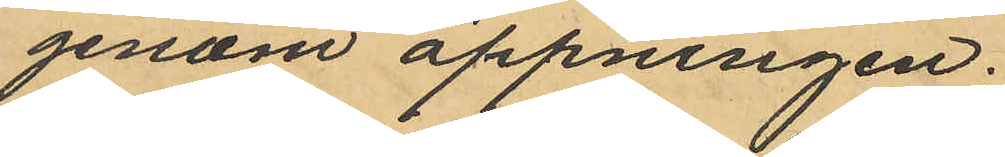genom öppningen;
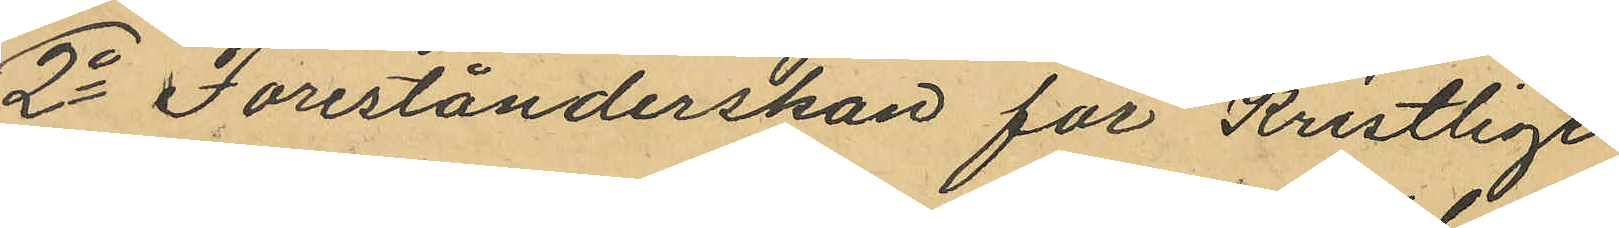2o Förestånderskan för "Kristlige
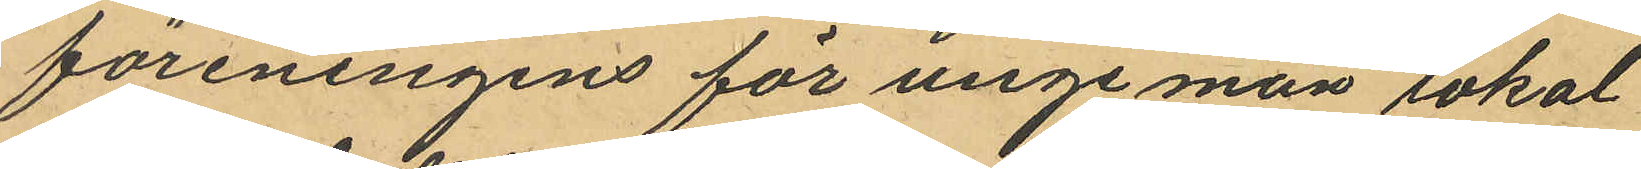föreningens för unge män" lokal
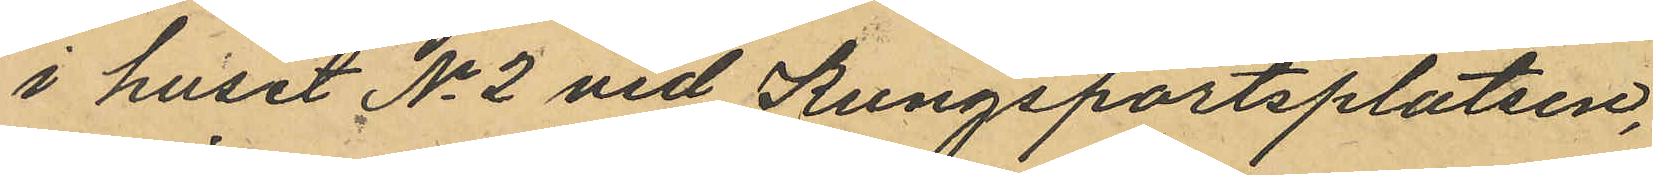i huset No 2 vid Kungsportsplatsen,
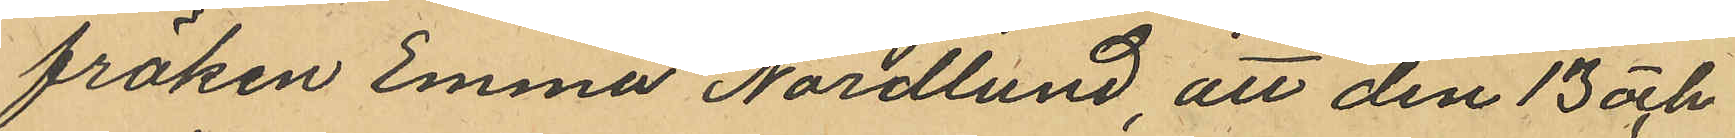fröken Emma Nordlund, att den 13 och
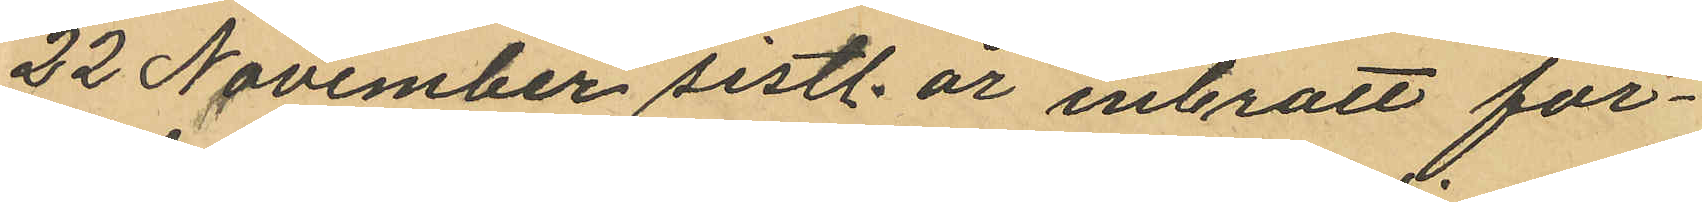22 November sistl. år inbrott för¬
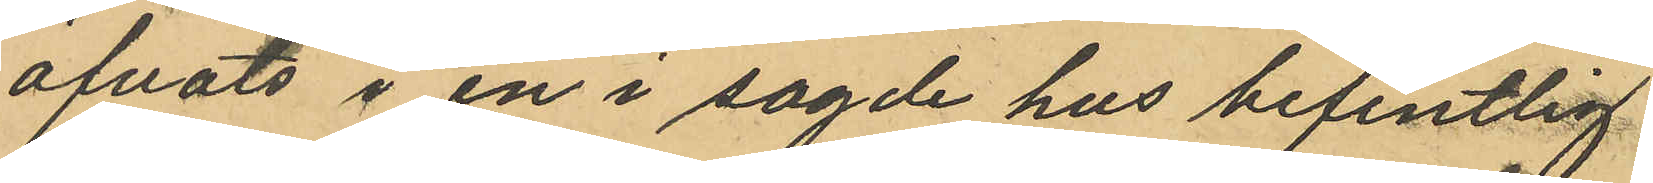öfvats i en i sagde hus befintlig
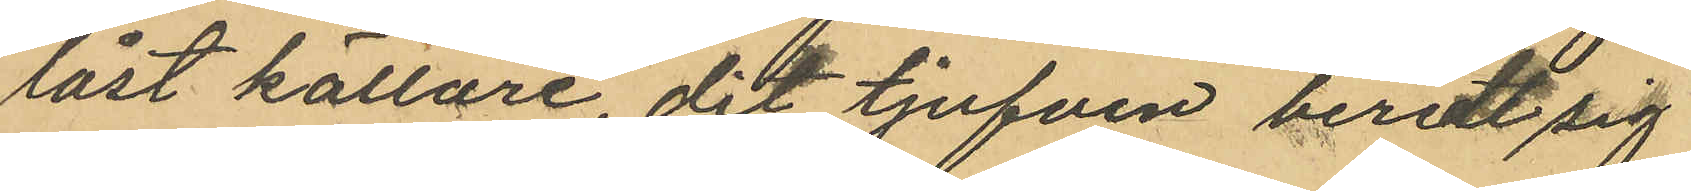låst källare, dit tjufven beredt sig
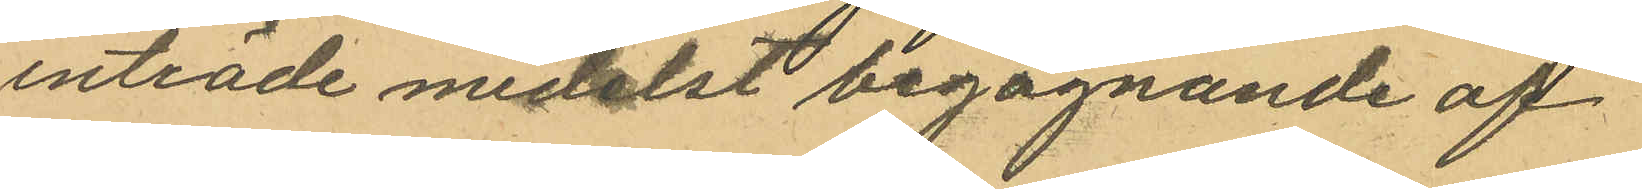inträde medelst begagnande af
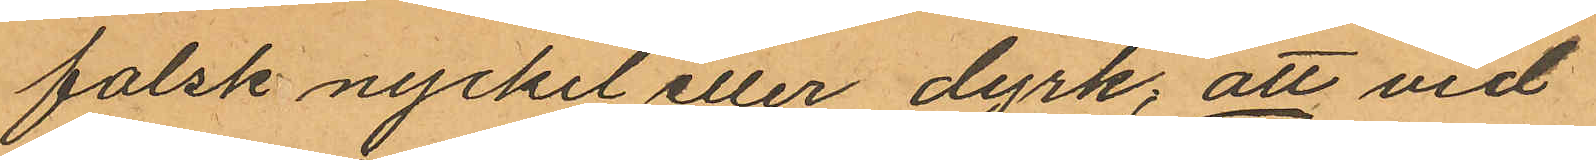falsk nyckel eller dyrk; att vid
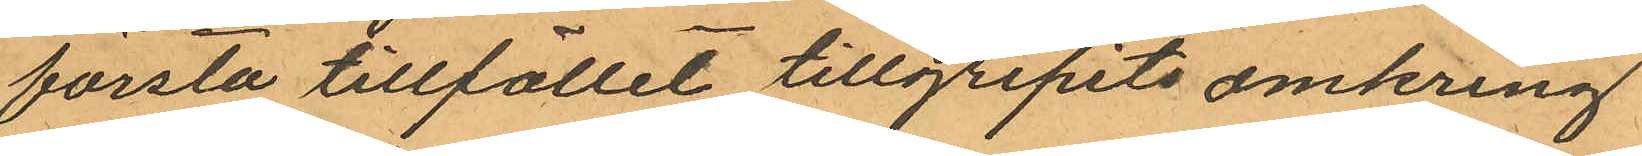första tillfället tillgripits omkring
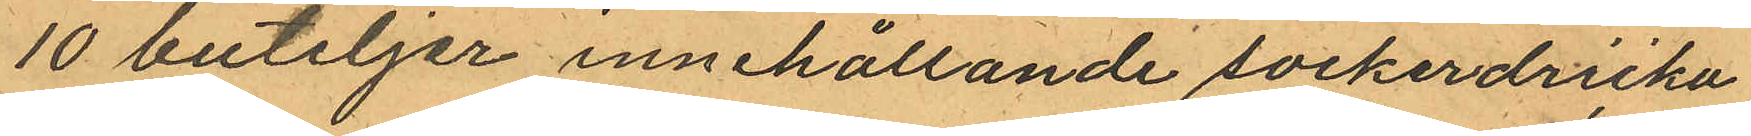10 buteljer innehållande sockerdricka
